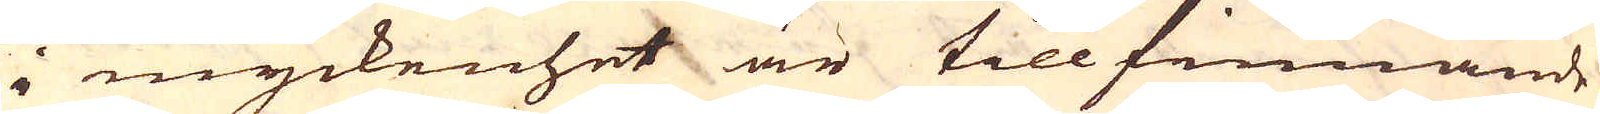i myckenhet är till finnande
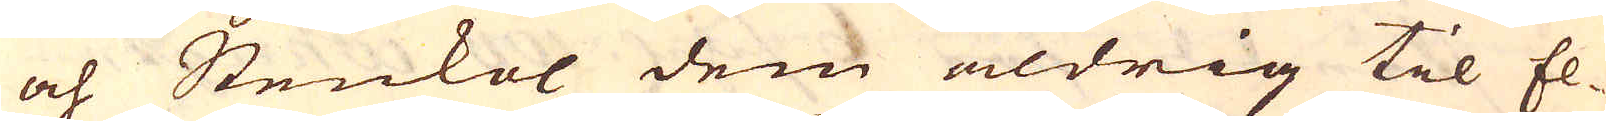och Stenkol dem aldrig til El-
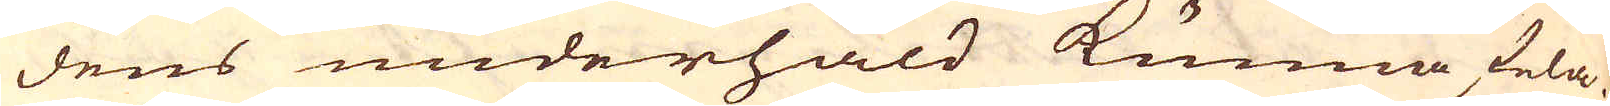dens underhåld kunna fela.
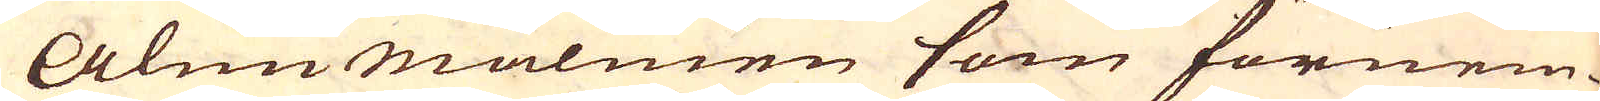Alunmalmen som förnem-
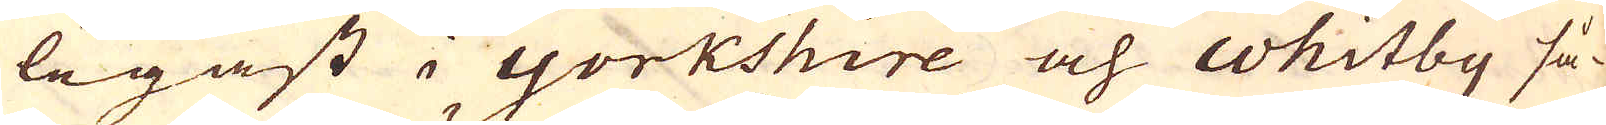legast i Yorkshire och Whitby så-
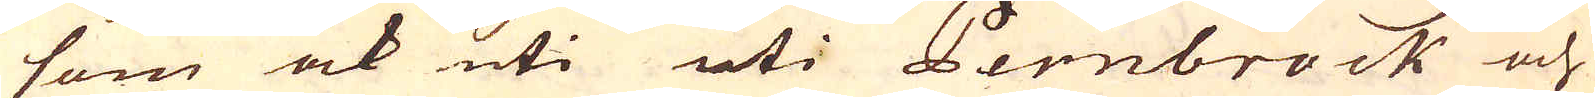som ock uti uti Pernbrock och
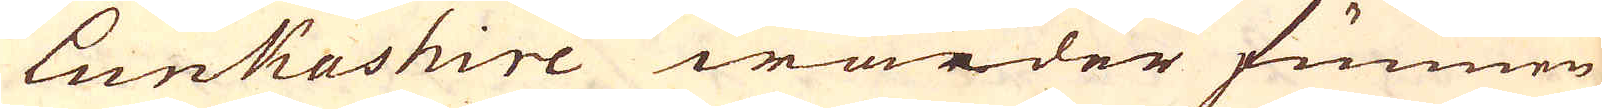Lunkashire warder funnen
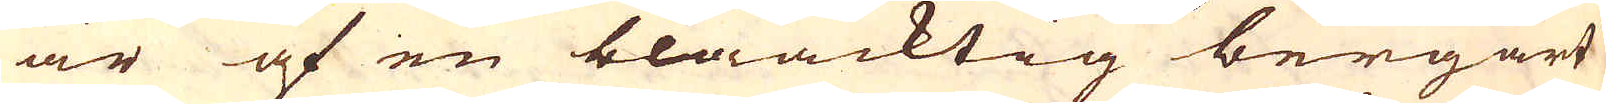är af en blåacktig bergart
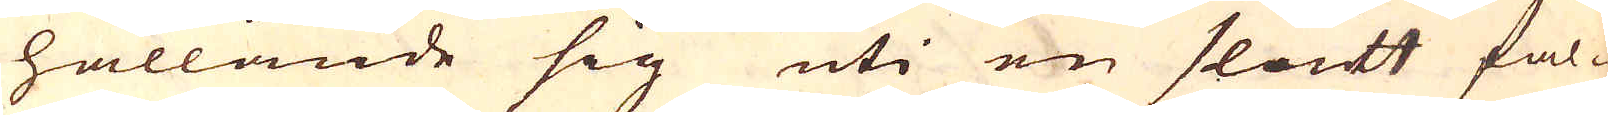hållande sig uti en slätt fal-
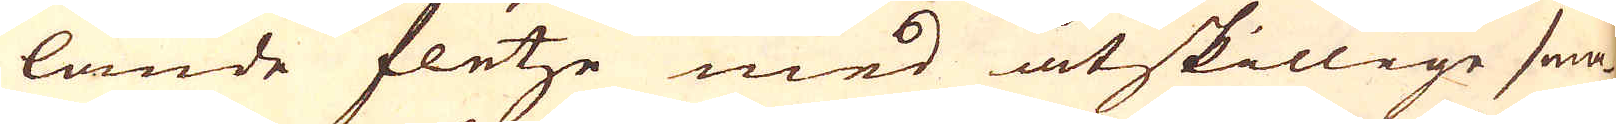lande fletze med åtskillige sma-
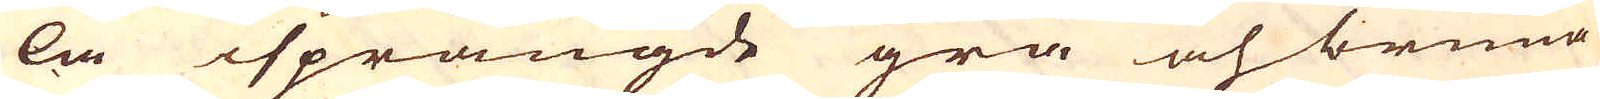la isprängde grå och bruna
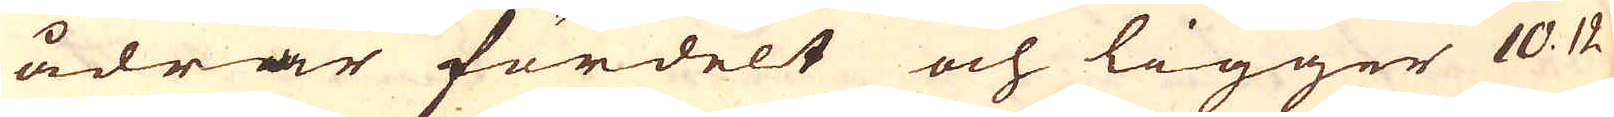ådrar fördelt och ligger 10 12
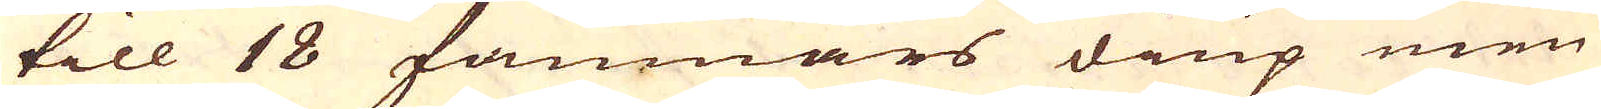till 18 famnars diup men
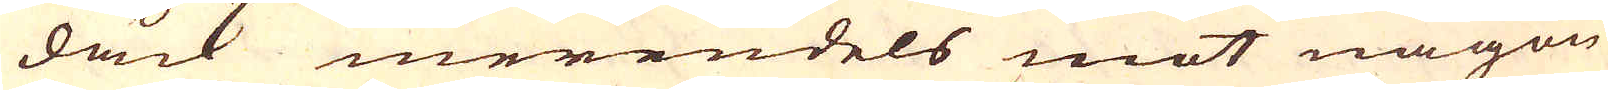dåck merendels mot någon
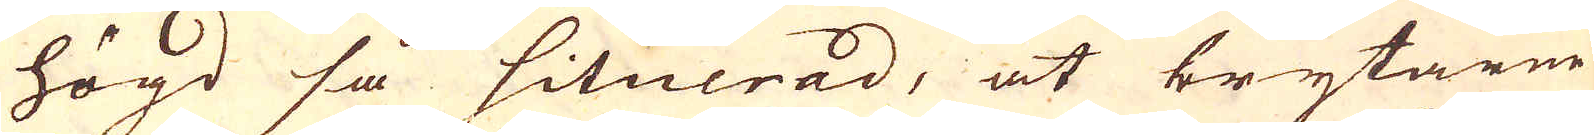högd så situerad, at brytarne
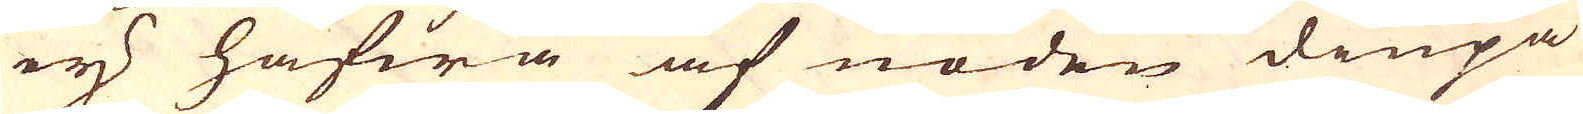ej hafwa af nöden diupa
